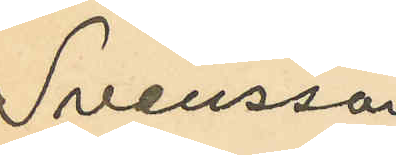Svensson
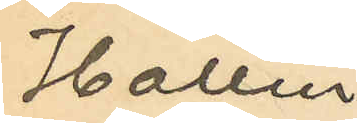Hallin
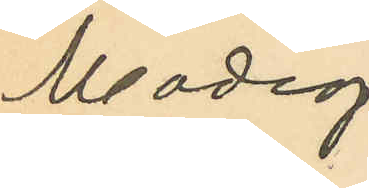Modig
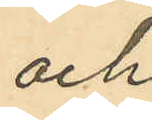och
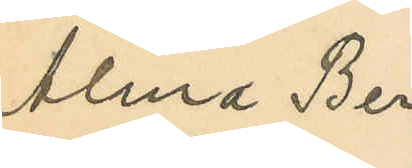Alma Ber¬
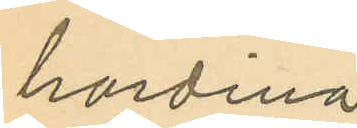hardina
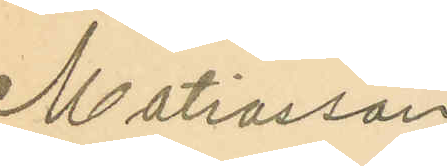Matiasson
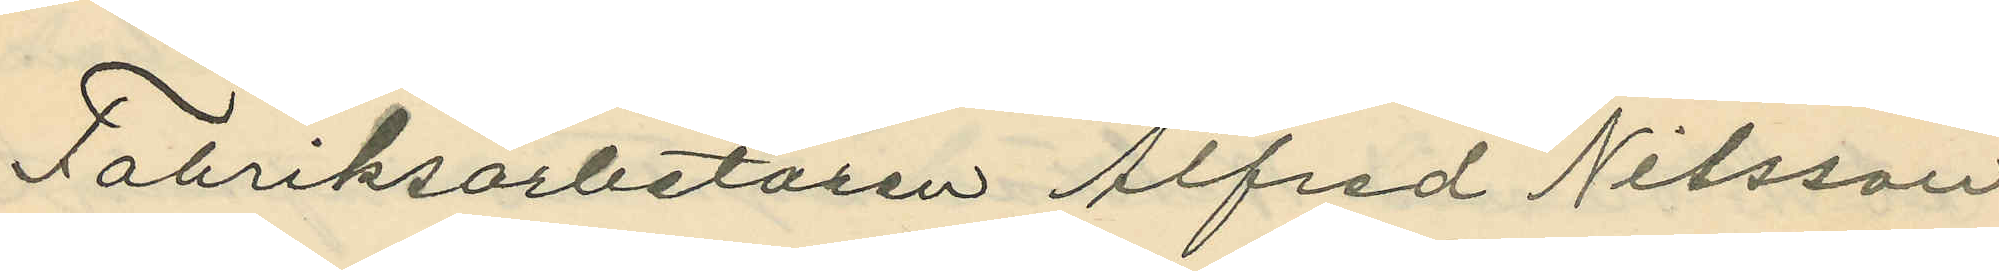Fabriksarbetaren Alfred Nilsson
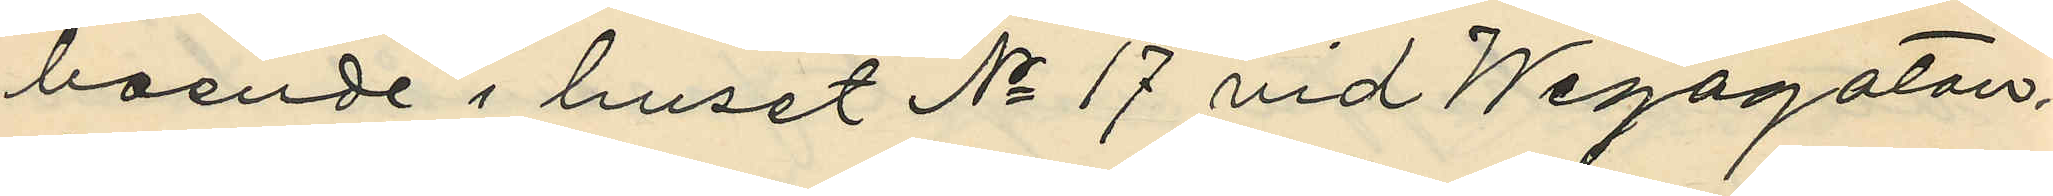boende i huset No 17 vid Wegagatan,
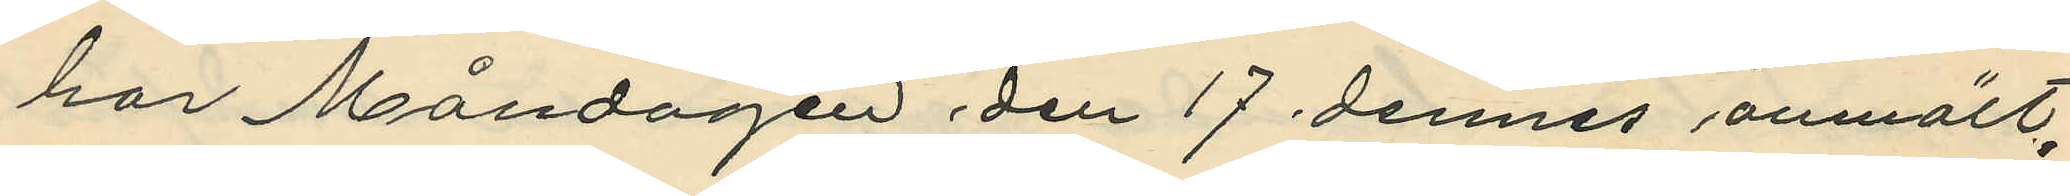har Måndagen den 17 dennes anmält,
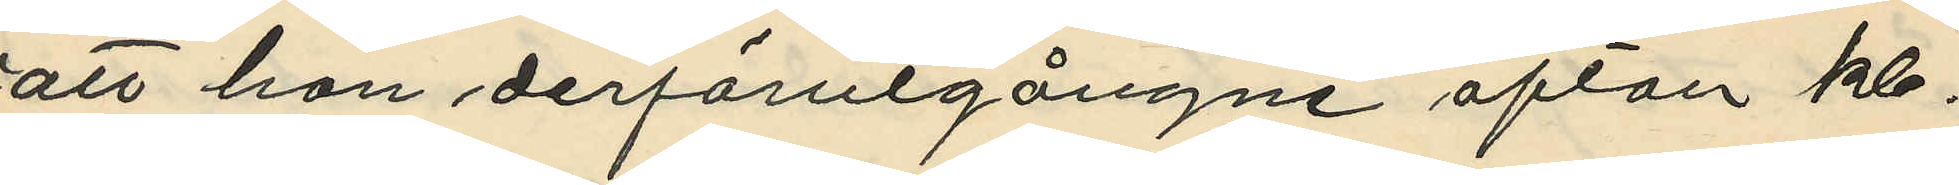att han derförutgångne afton kl.
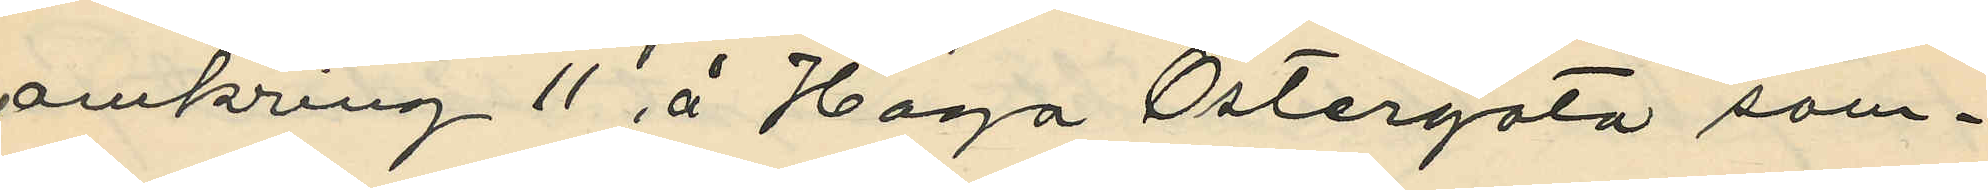omkring 11 å Haga Östergata sam¬
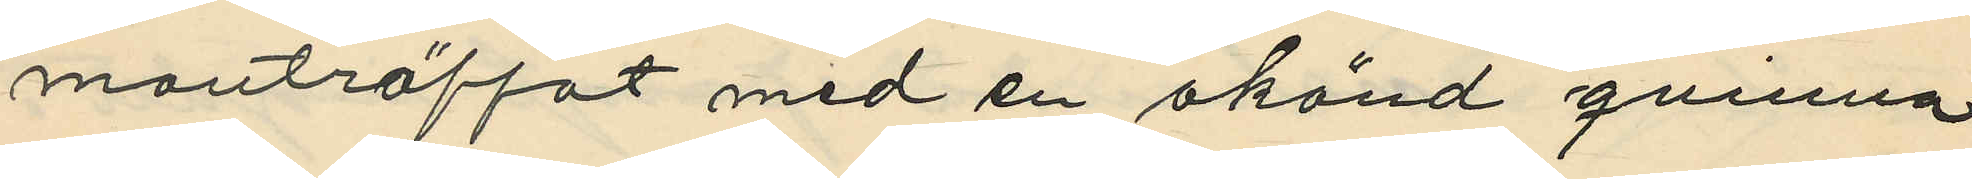manträffat med en okänd qvinna
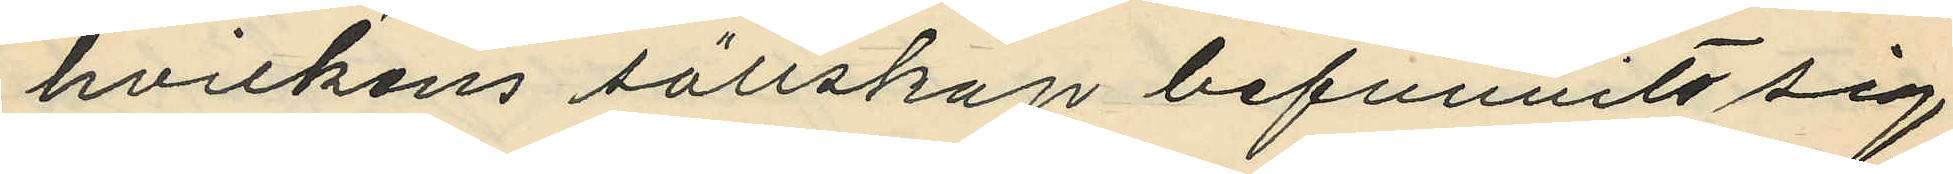hvilkens sällskap befunnits sig
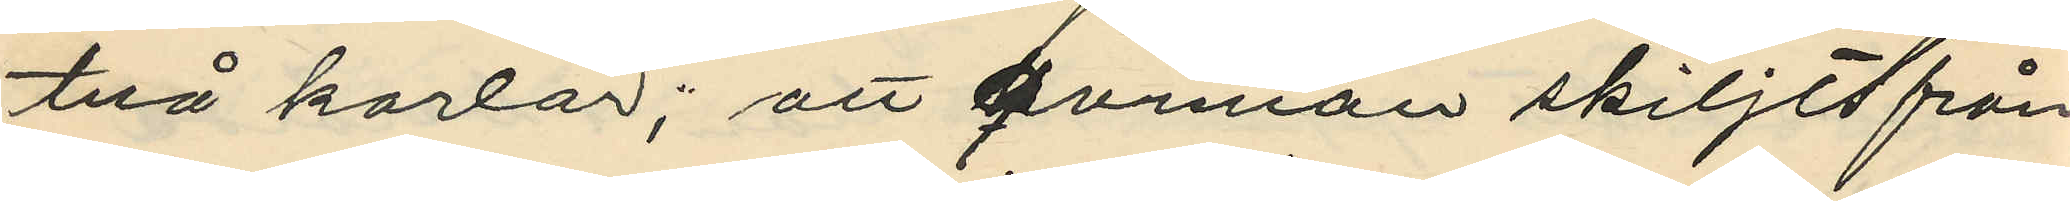två karlar; att qvinnan skiljts från
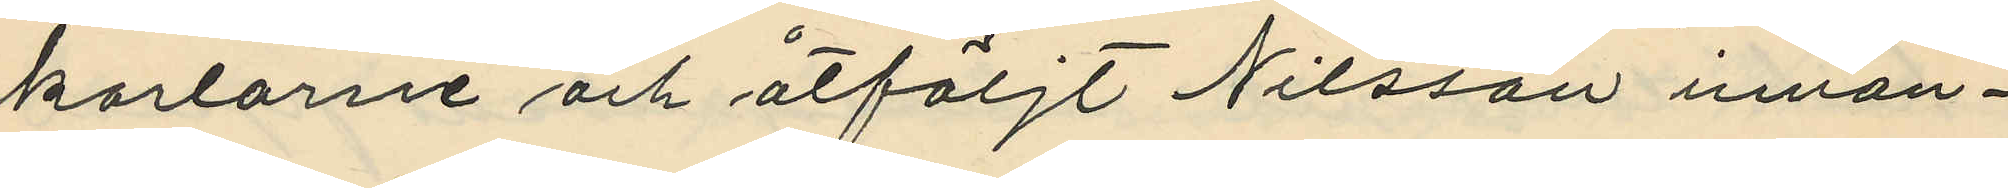karlarne och åtföljt Nilsson innan¬
